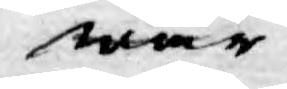war
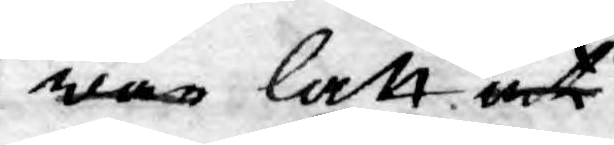war lätt at
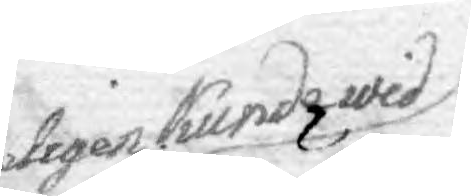eligen kunde wid
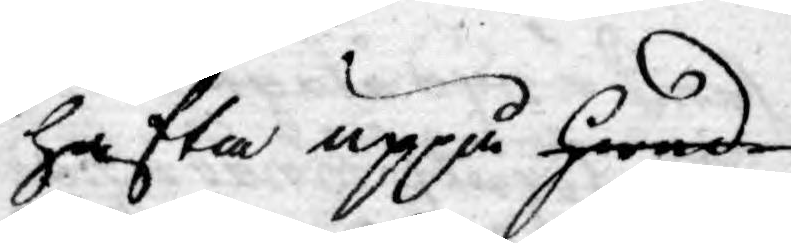häfta uppå hwad
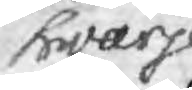hwarje
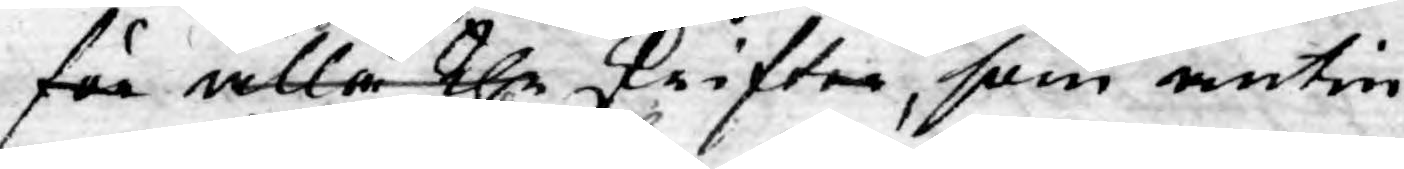för alla the skrifter, som antin¬
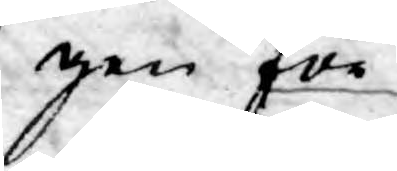gen för theras
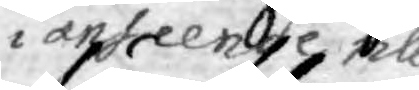i anseende till
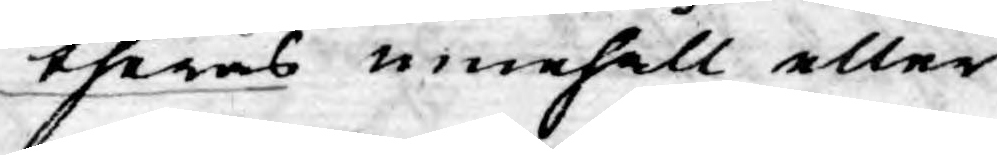innehåll eller
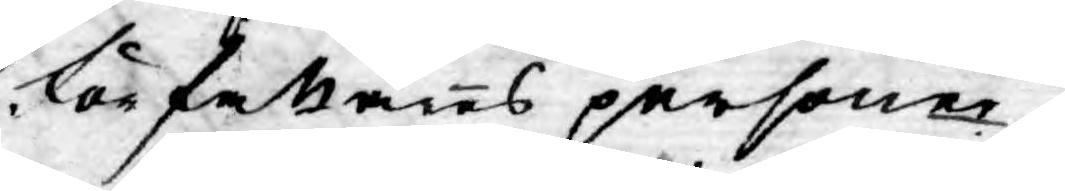författares personer
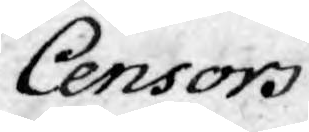Censors
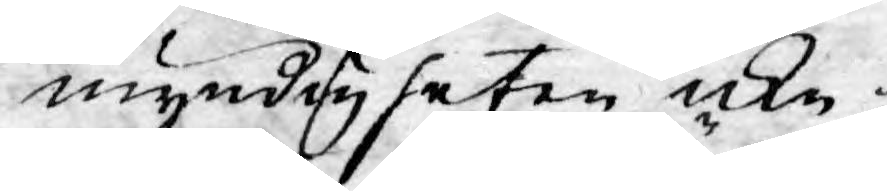myndigheten icke
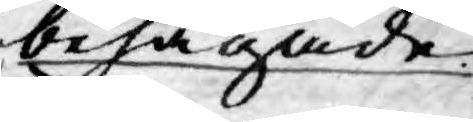besagade
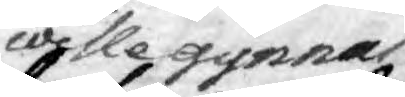wille gynnas.
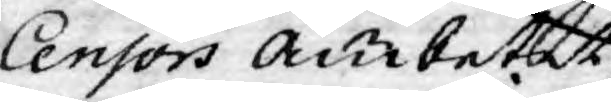Censors Ämbetet
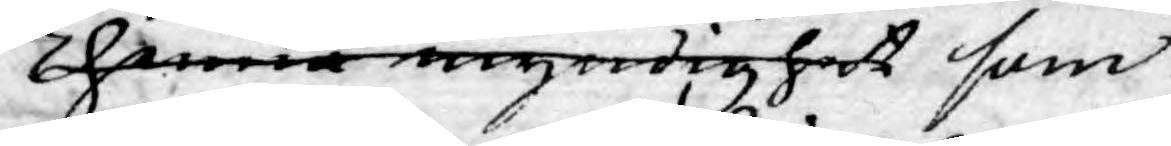thenne myndighet som
